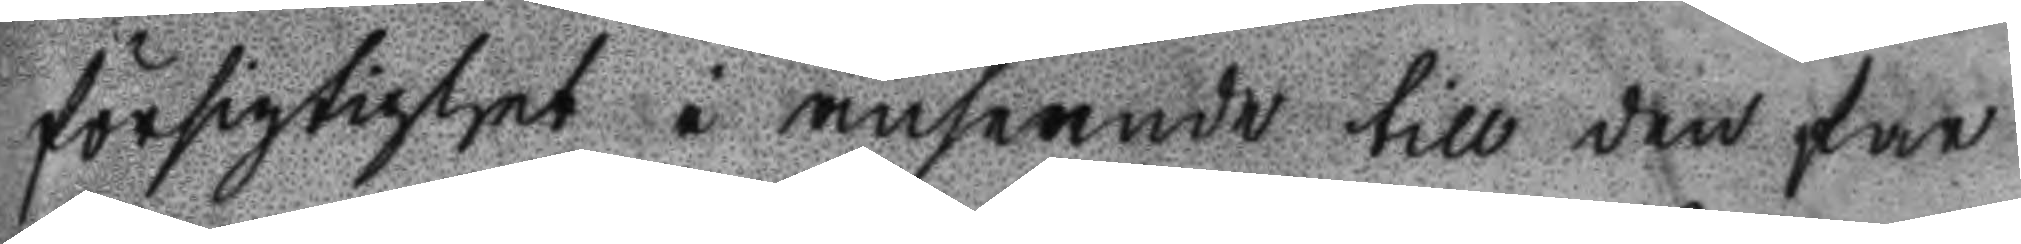försigtighet i anseende till den far
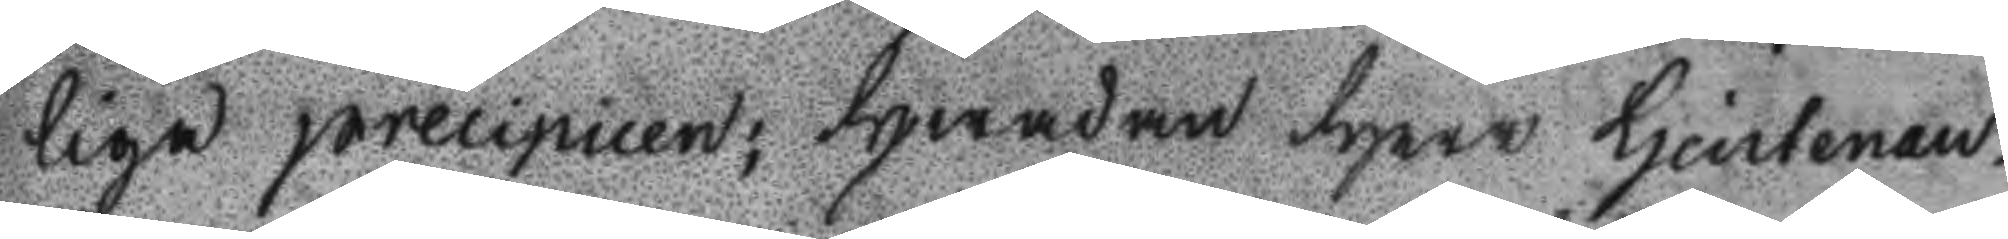liga precipicen; hwadan Herr Lieutenan¬
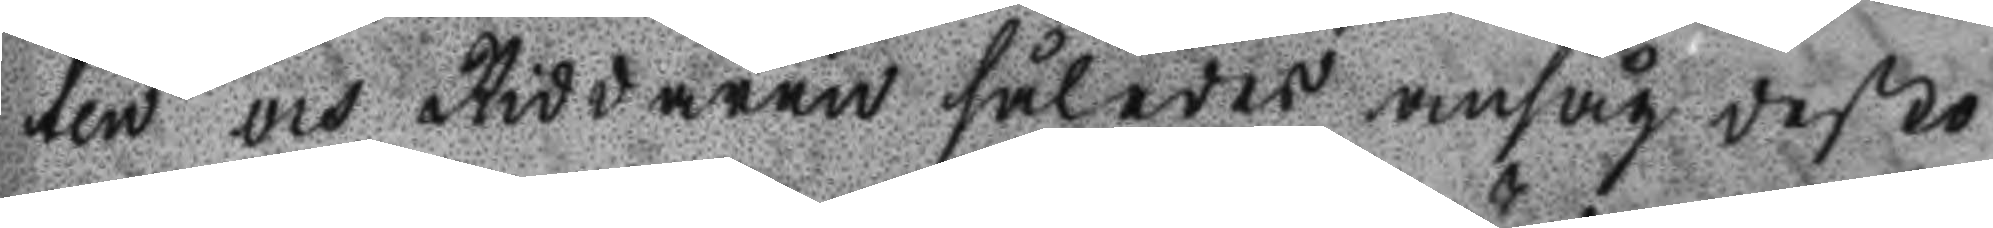ten och Riddaren således ansåg desto
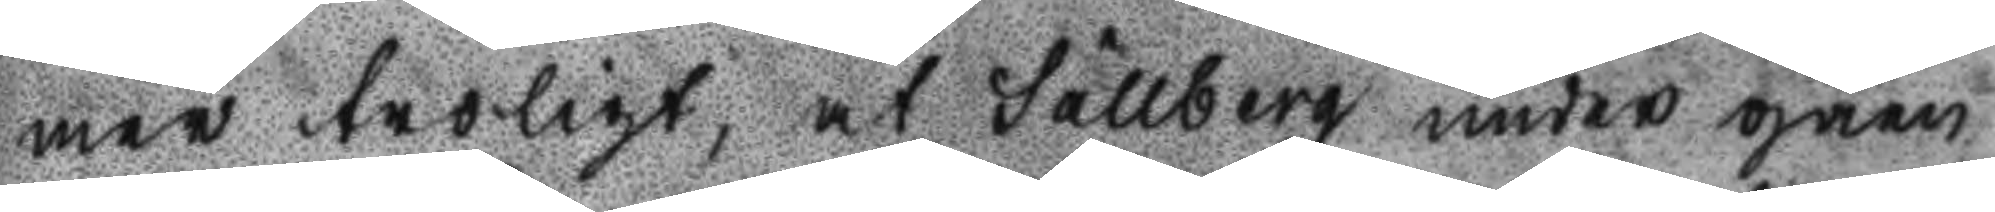mer troligt, at Sällberg under gåen
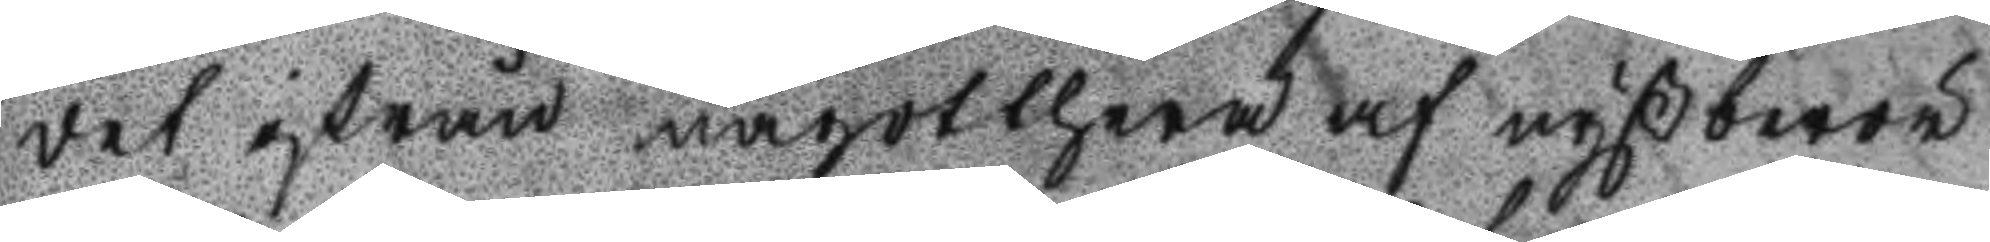det ifrån någothera af nyßberör
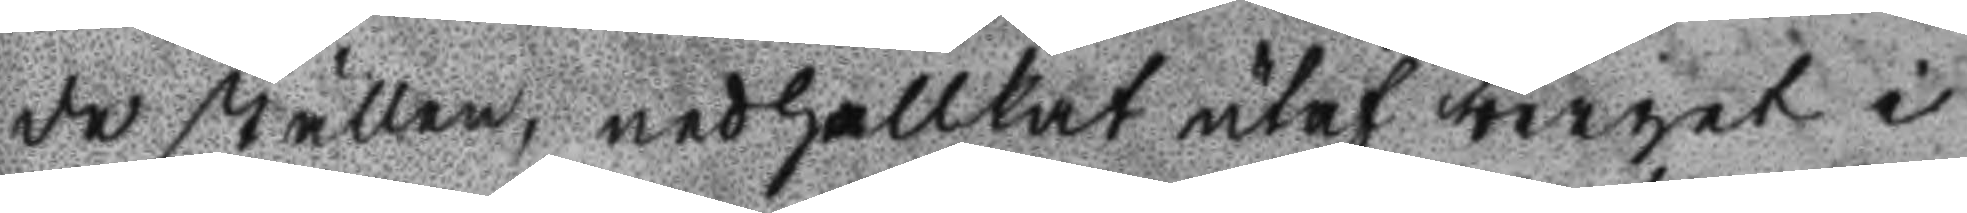de ställen, nedfallit utaf berget i
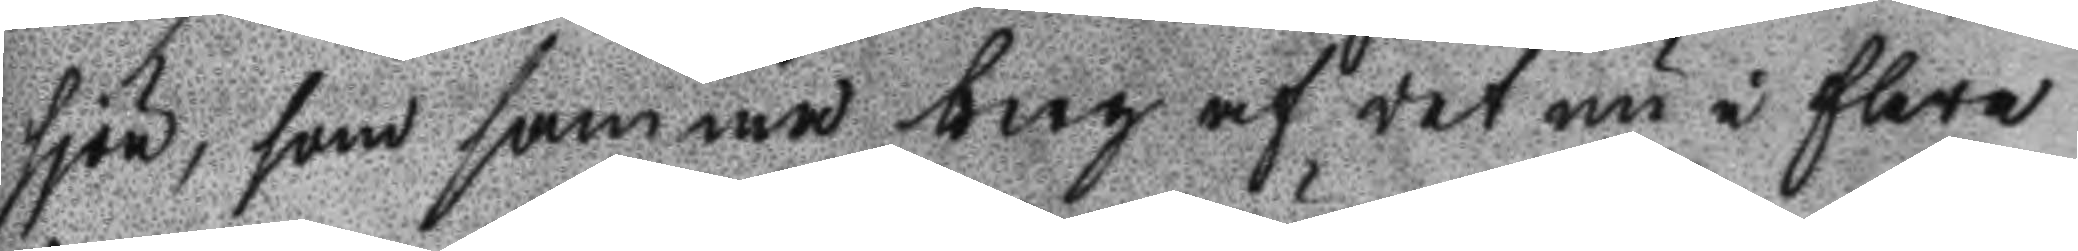sjön, som samma berg af det nu i flere
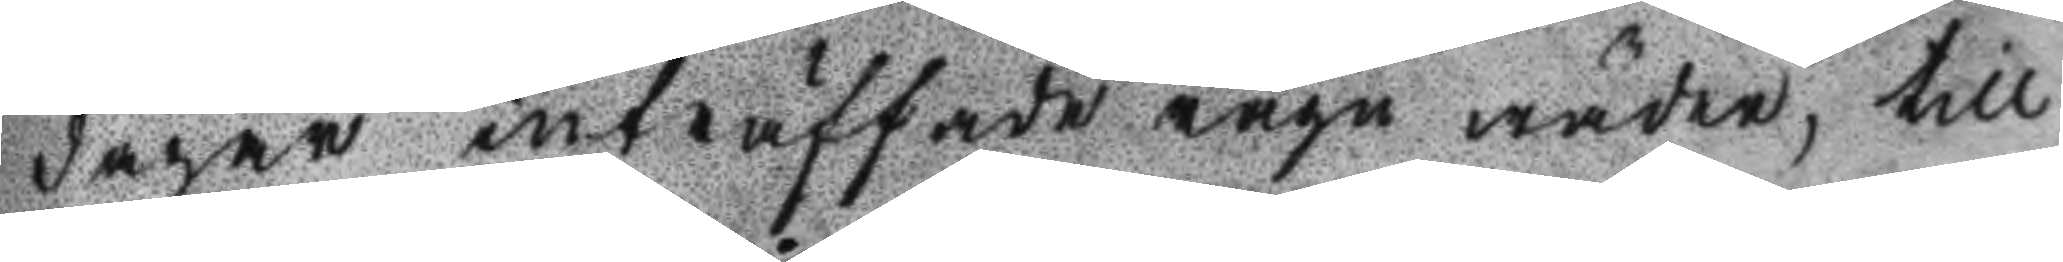dagar inträffade rägn wäder, till
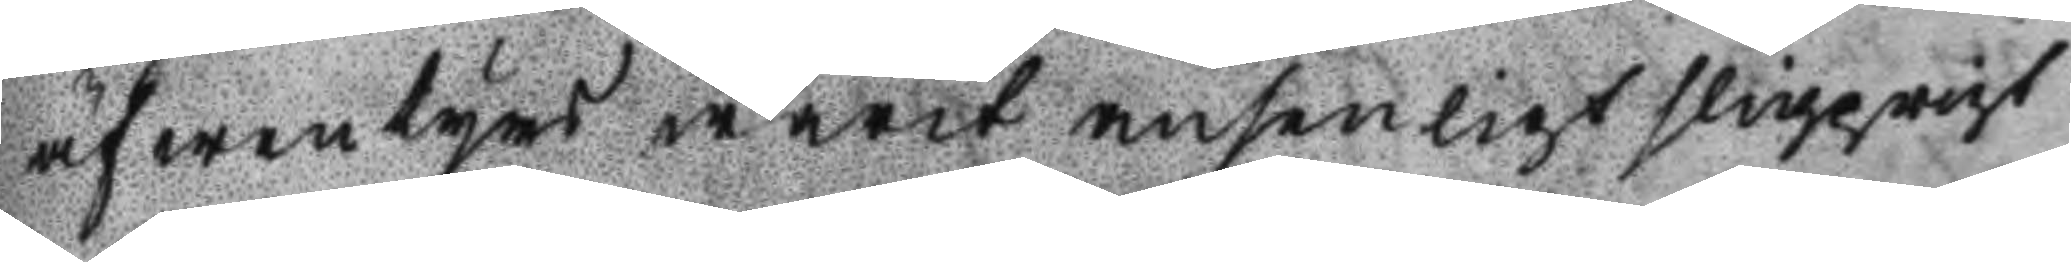äfwentyrs warit ansenligt slipprigt
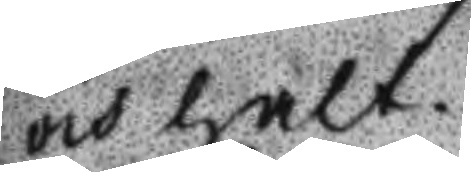och halt.
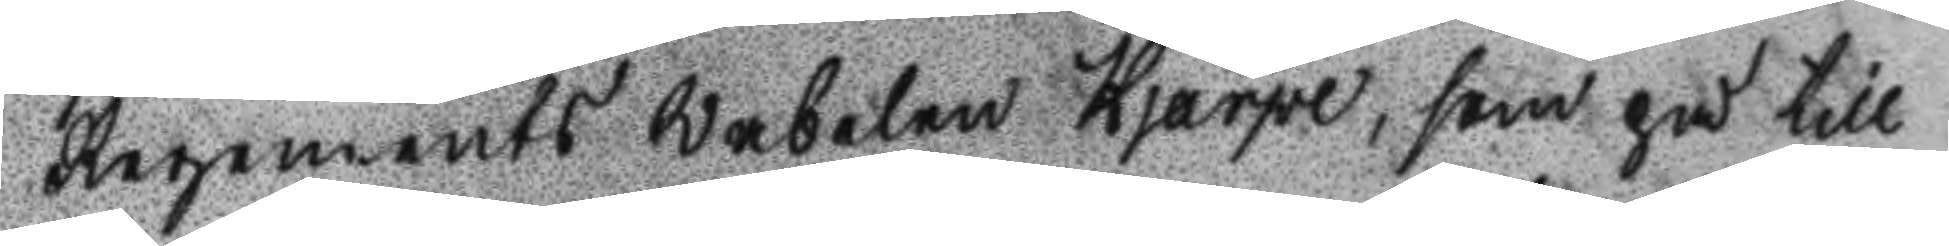Regements Webelen Hjärpe, som på till
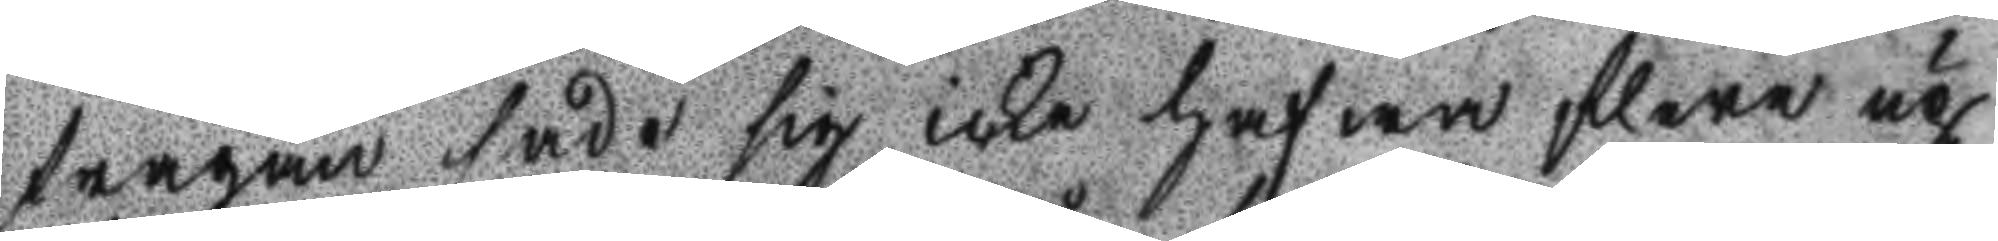frågan sade sig icke hafwa flere up
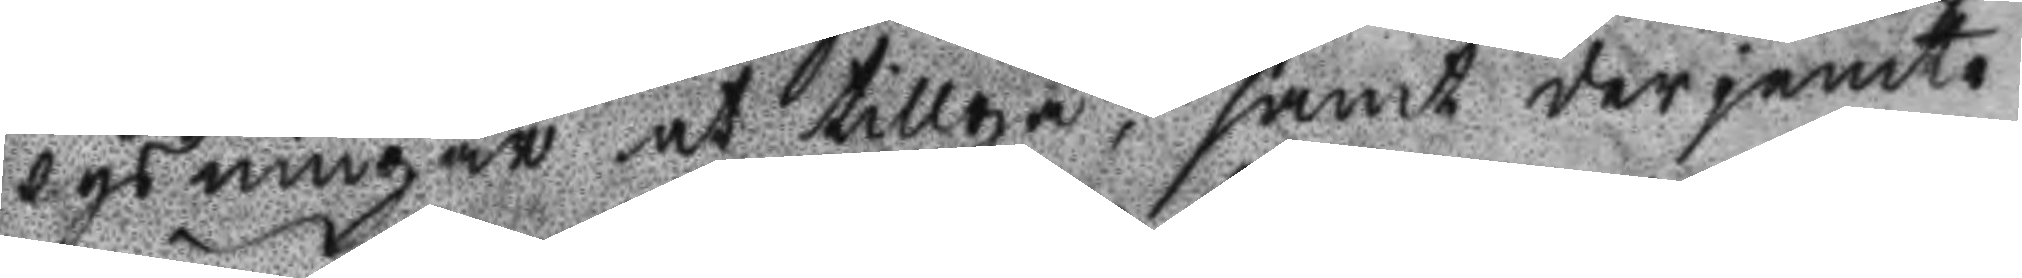lysningat at tillgå, samt derjemte
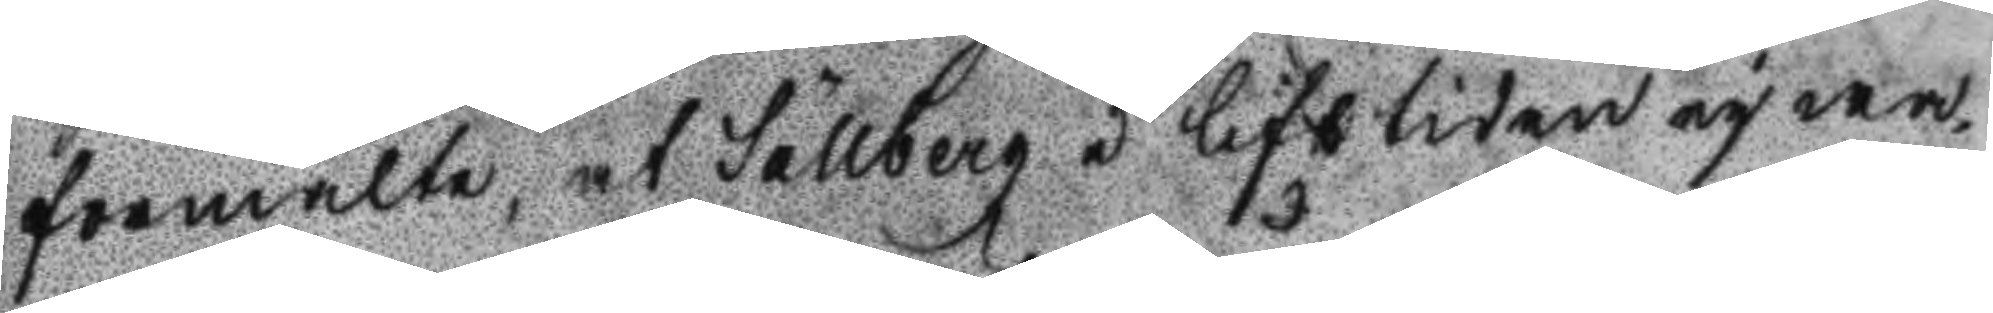förmälte, at Sällberg i lifstiden ey wa¬
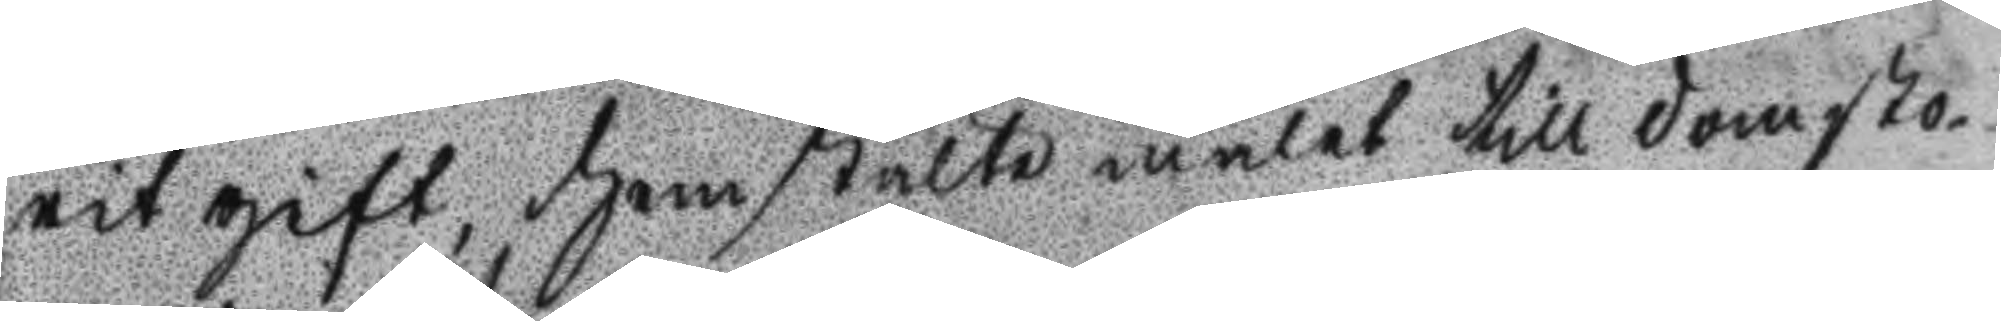rit gift, hemstälte målet till domsto¬
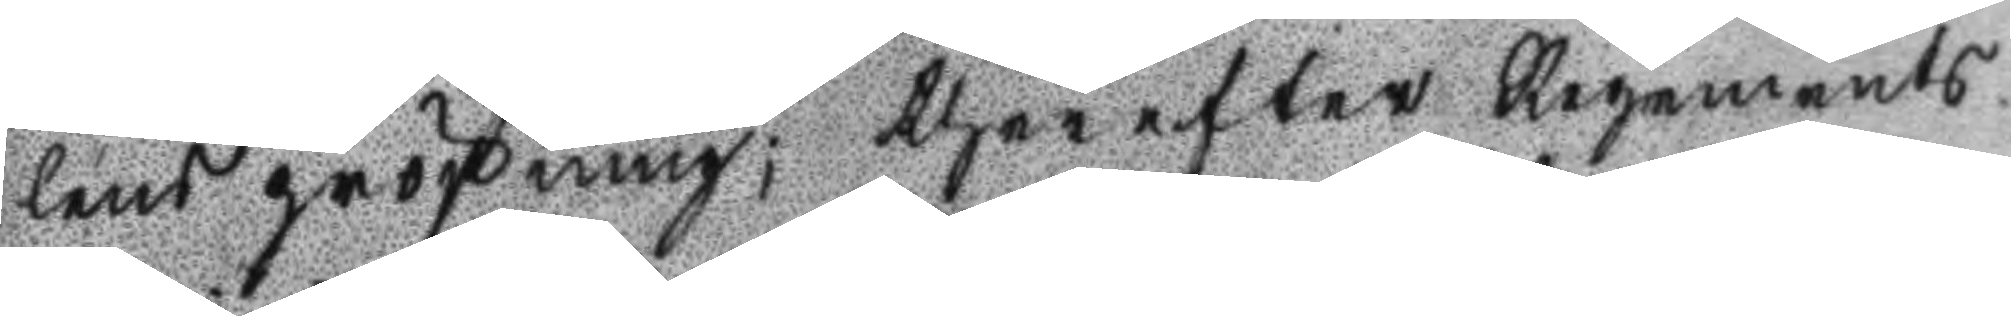lens pröfning; therefter Regements
